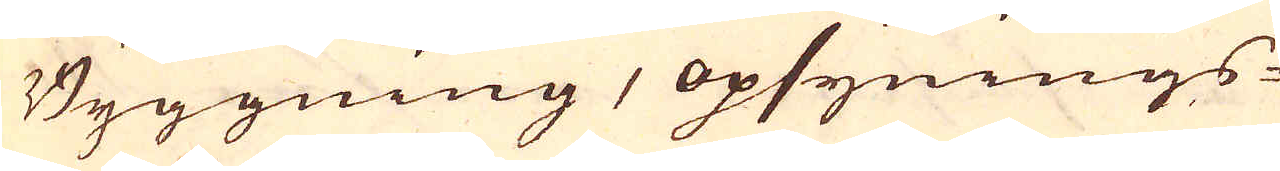Byggning, opsynings-
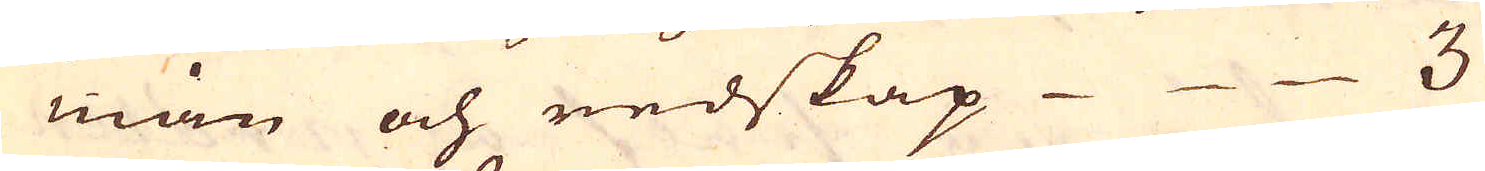man och redskap 3.
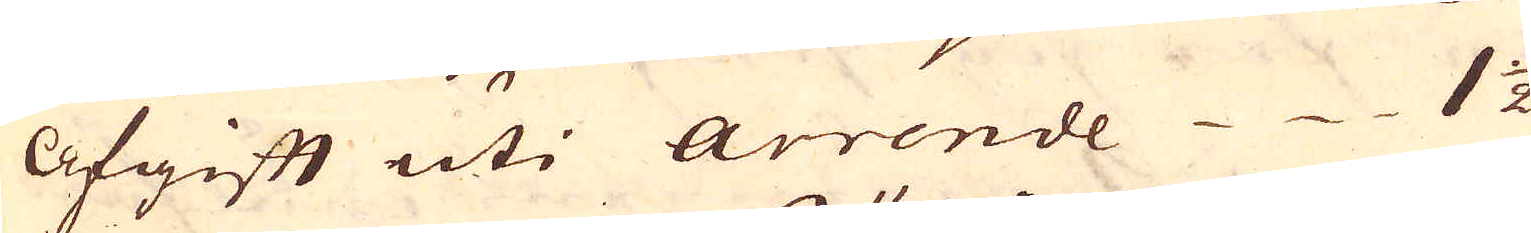Afgift uti Arrende 1 1/2
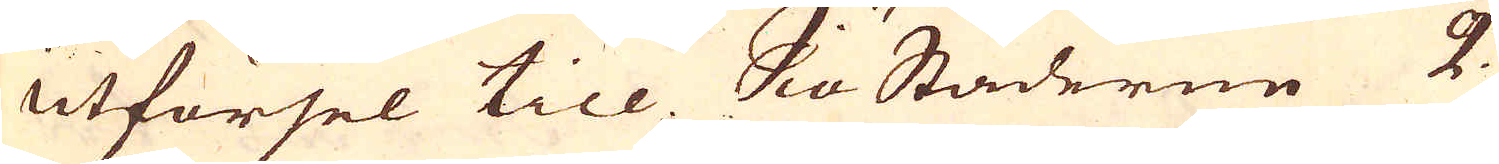Utförsel till SiöStäderne 2.
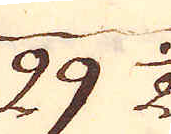29 1/2
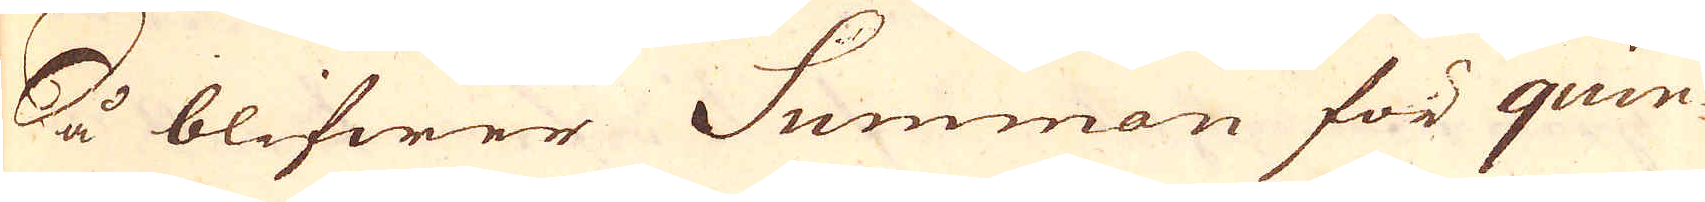Så blifwer Summan för quin-
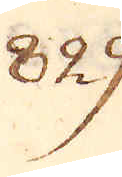829.
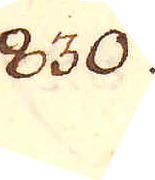830.
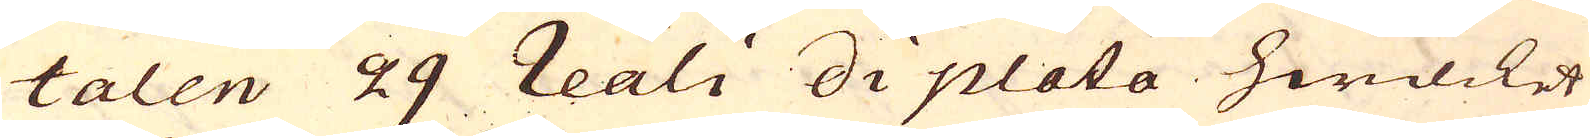talen 29 reali di plata hwilcket
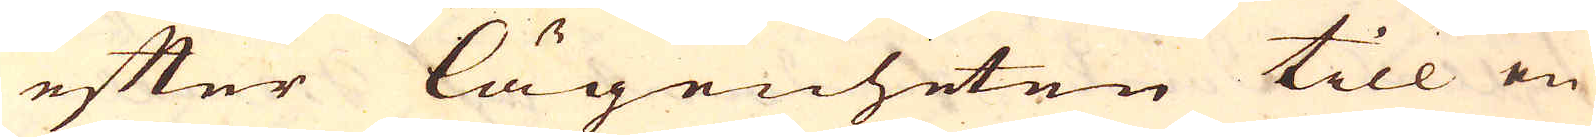efter lägenheten till en
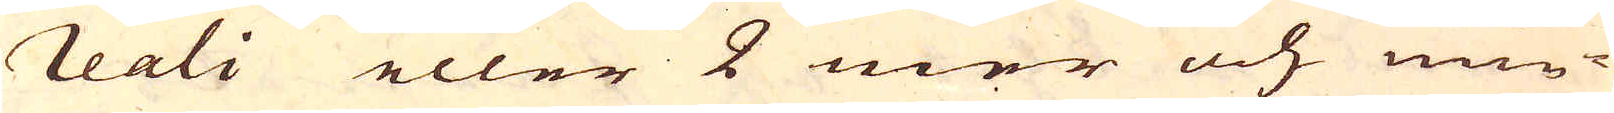reali eller 2 mer och min-
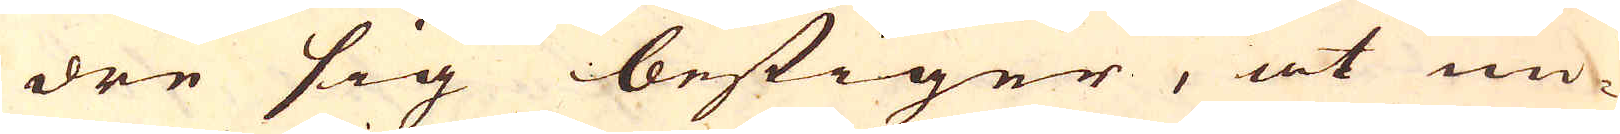dre sig bestiger, at un-
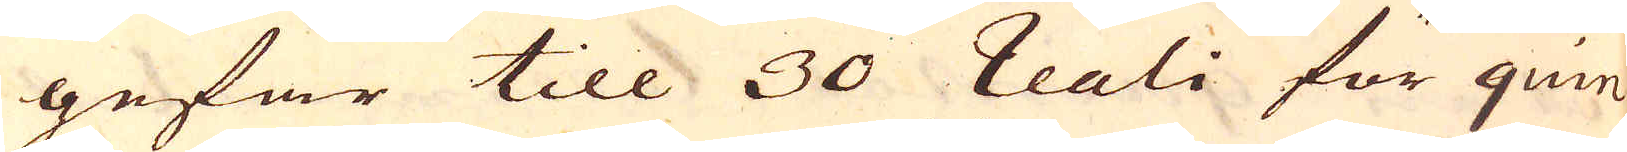gefär till 30 Reali för quin-
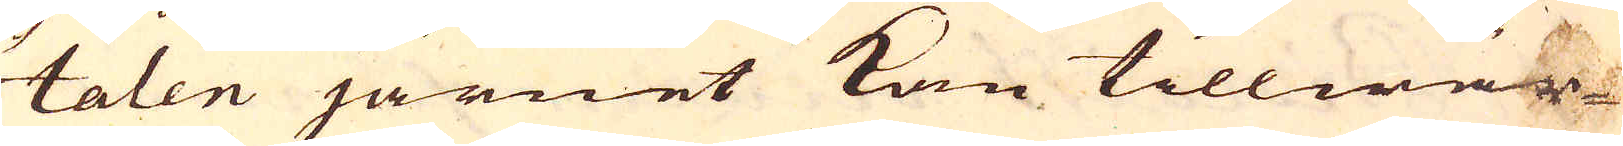talen järnet kan tillwär-
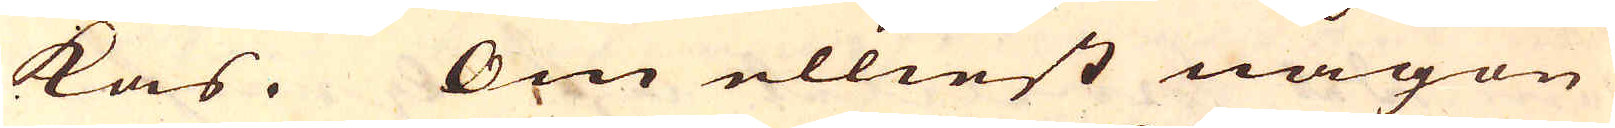kas. Om elliest någon
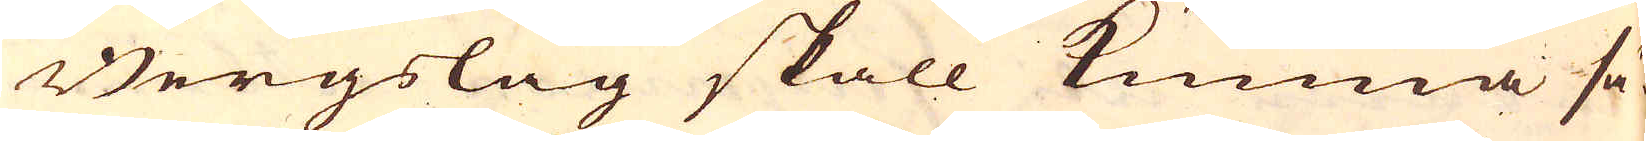Bergslag skall kunna sä-
